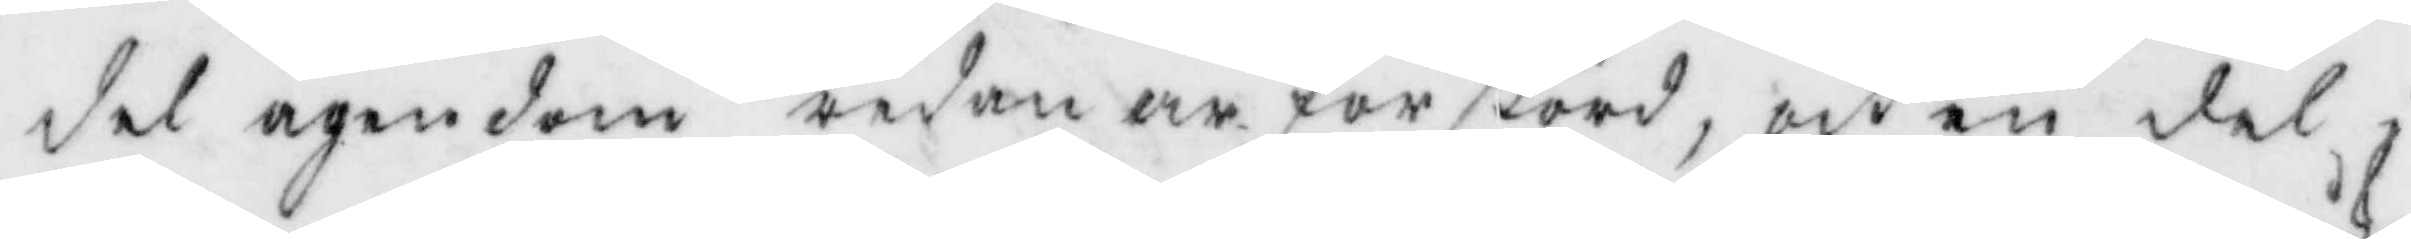del ägendom redan är förstörd, och en del i
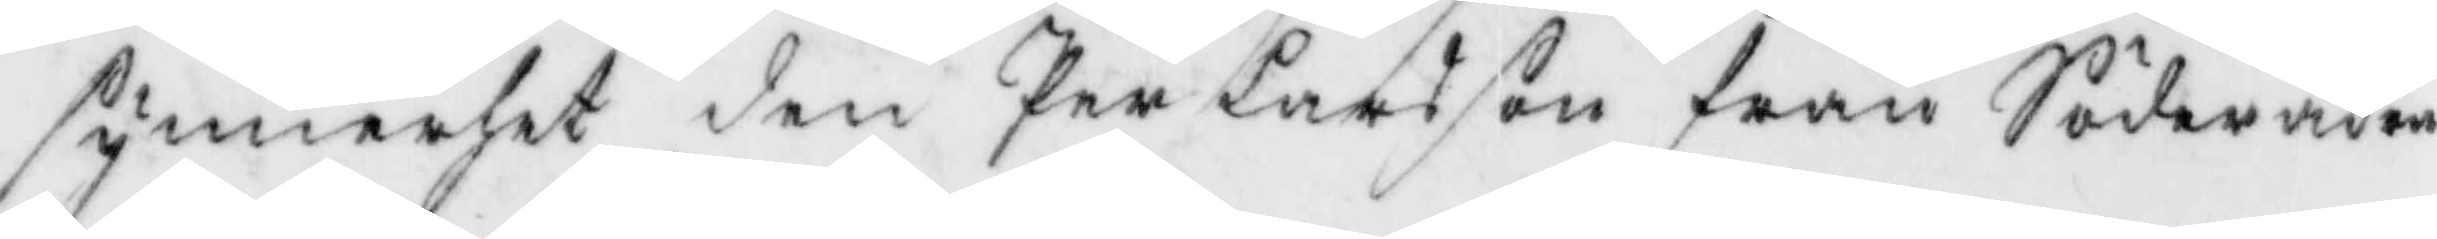synnerhet den Per Larsson från Söderåker
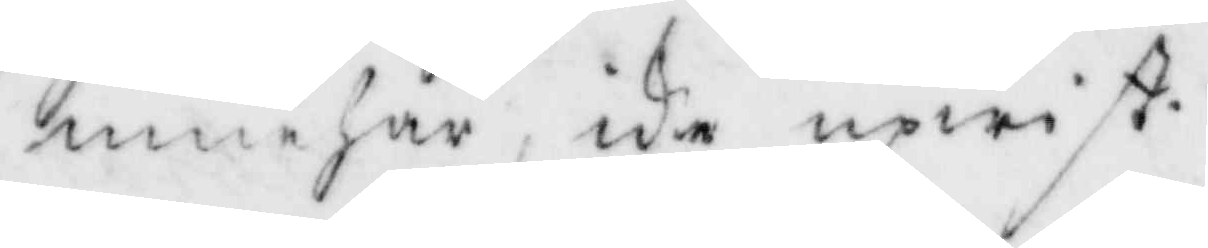innehar, icke upwist.
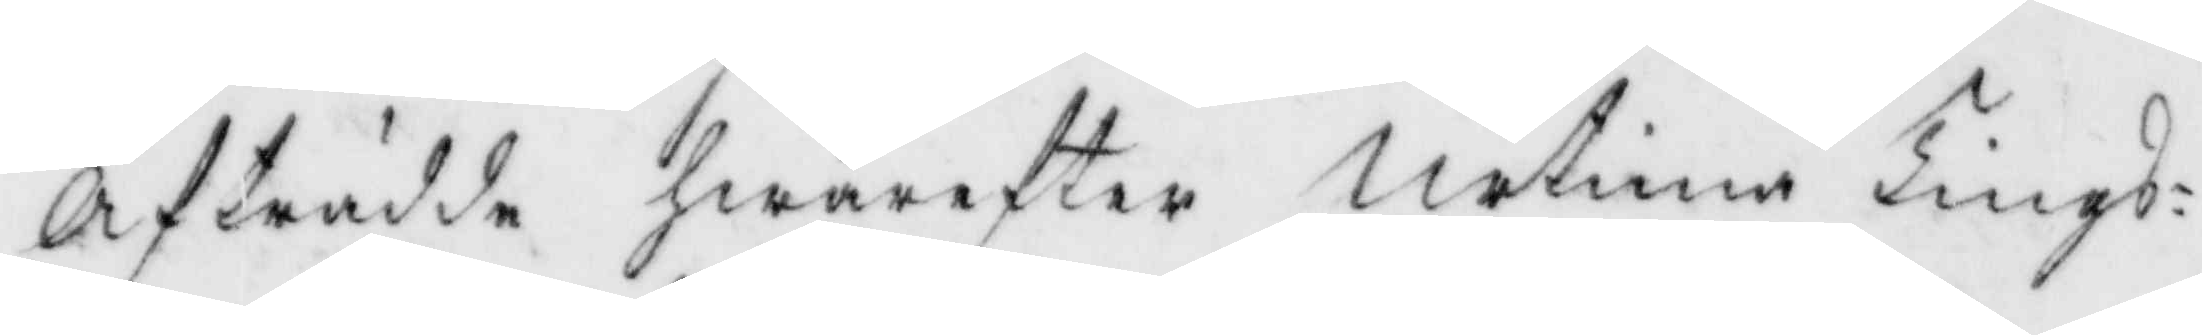Afträdde hwarefter Urtima Tings¬
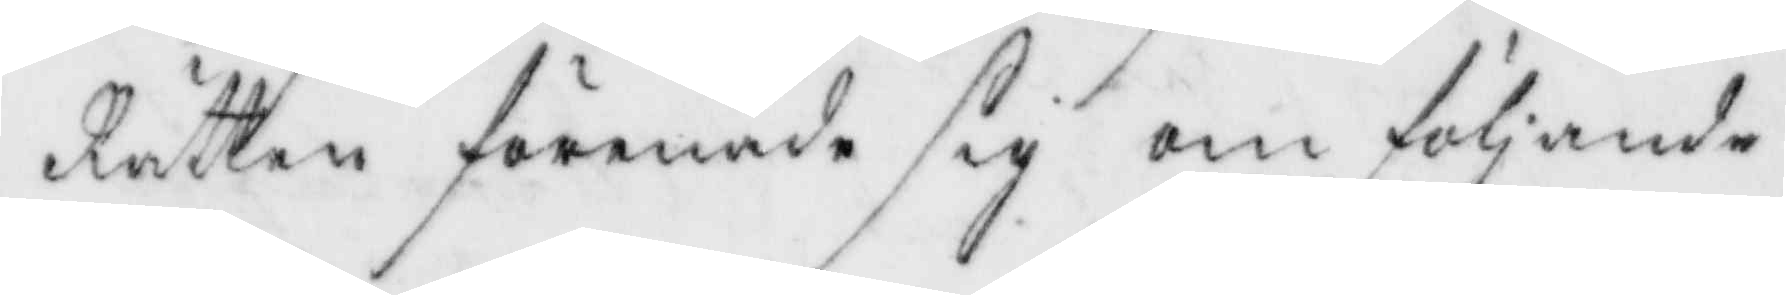Rätten förenade sig om följande
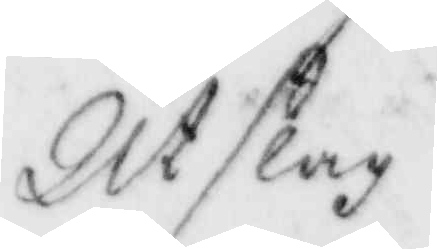Utslag
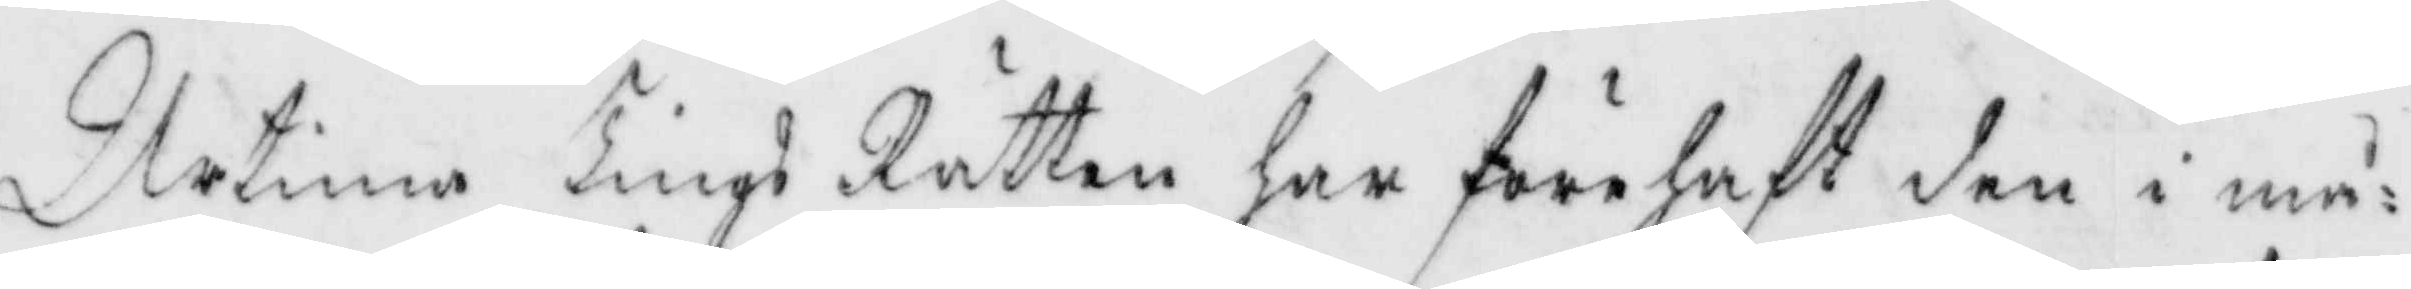Urtima Tings Rätten har förehaft den i må¬
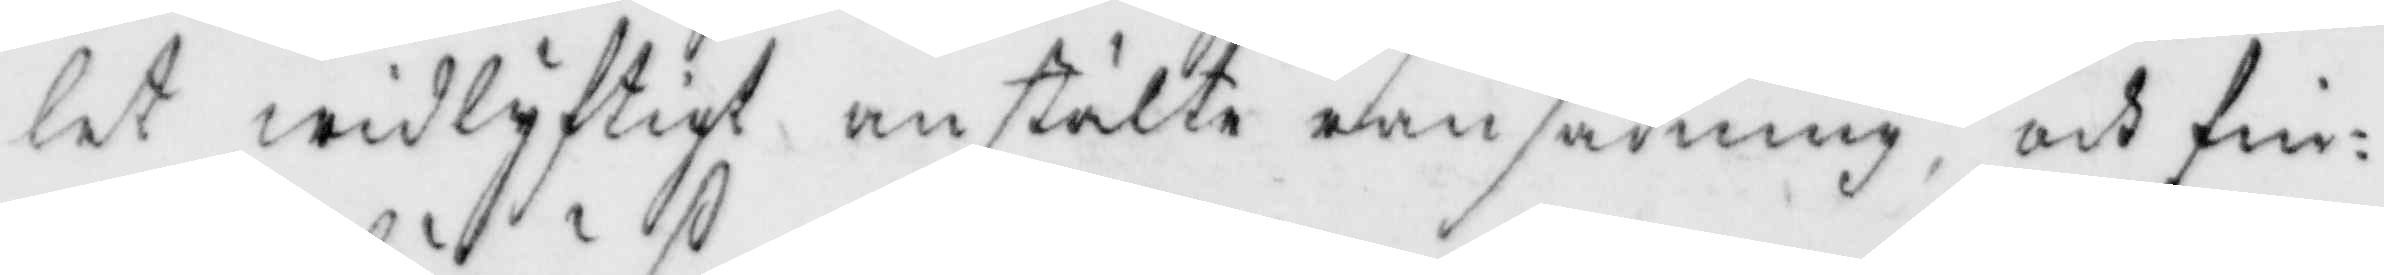let widlyftigt anstälte ransakning och fin¬
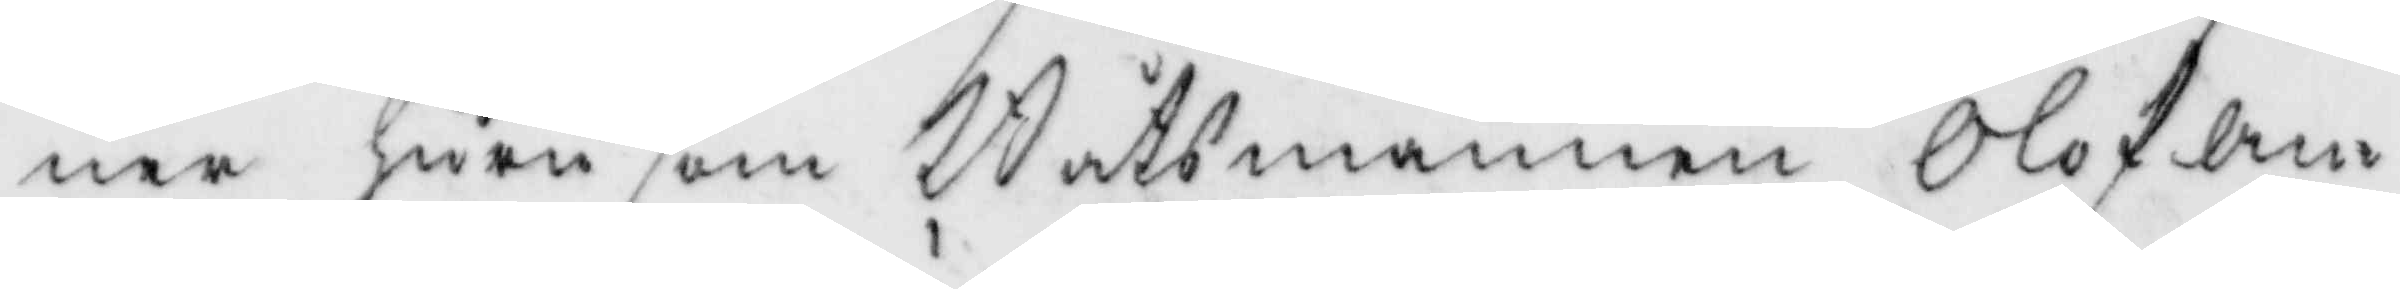ner huru som Båtsmannen Olof An¬
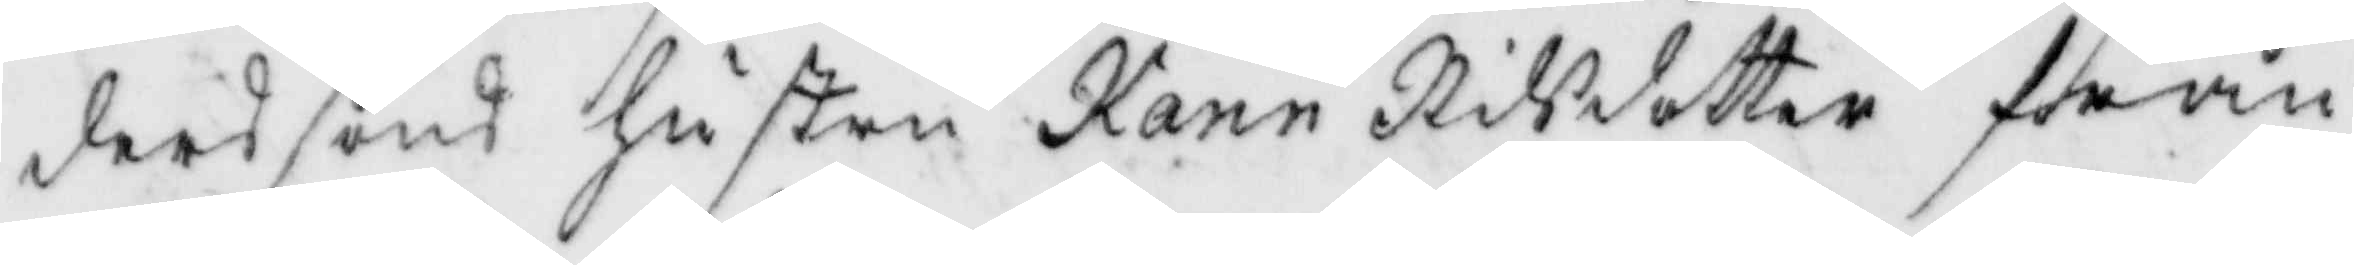derssons hustru Karin Nilsdotter från
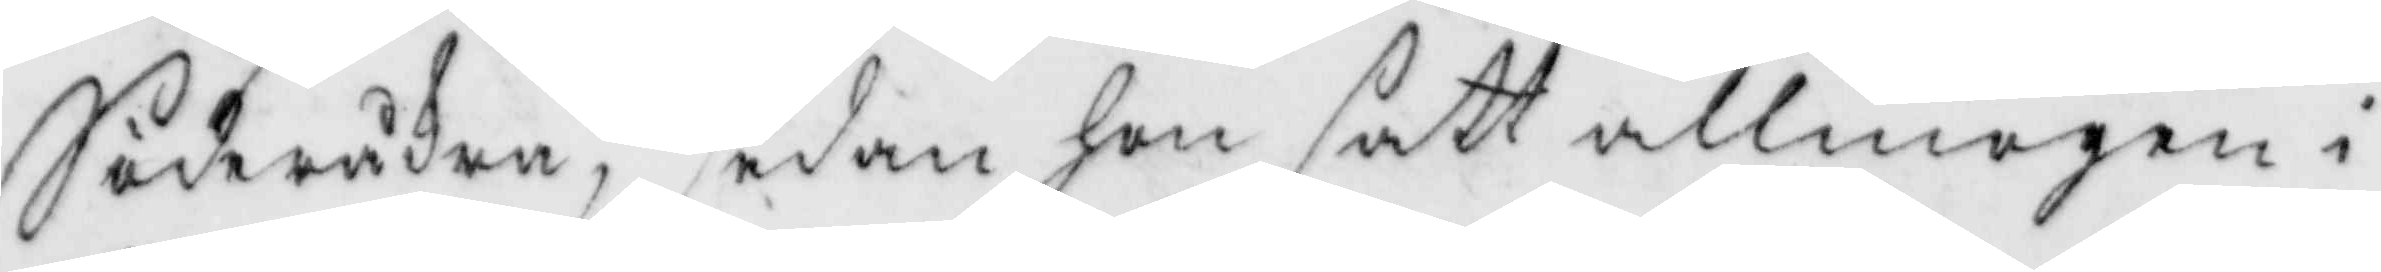Söderåker, sedan hon satt allmogen i
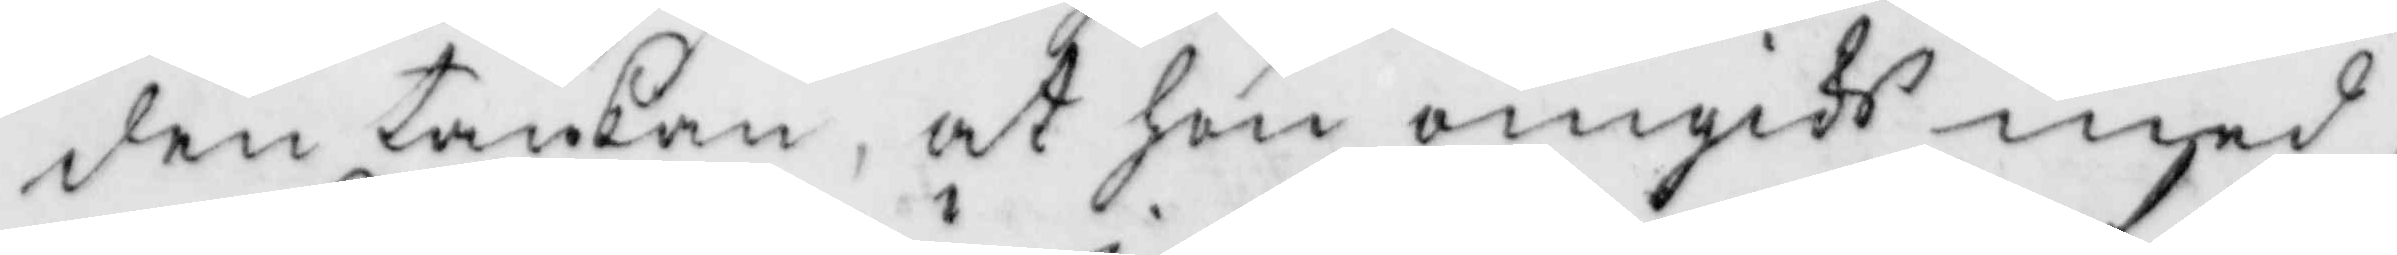den tankan, at hon omgiks med
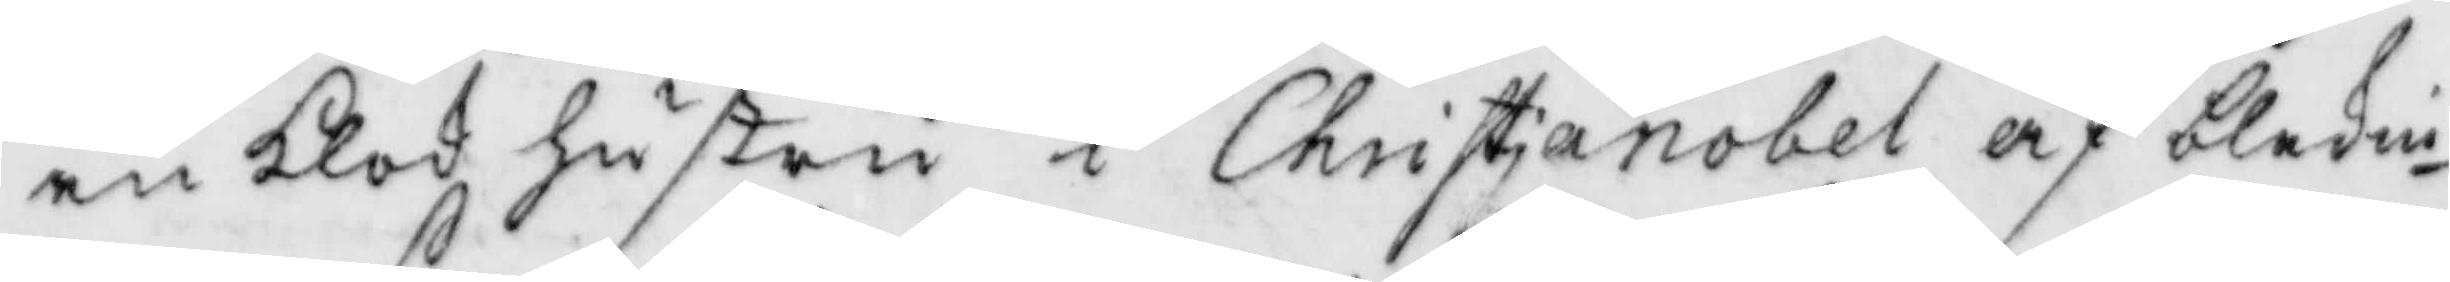en klok hustru i Christianobel af blekin¬
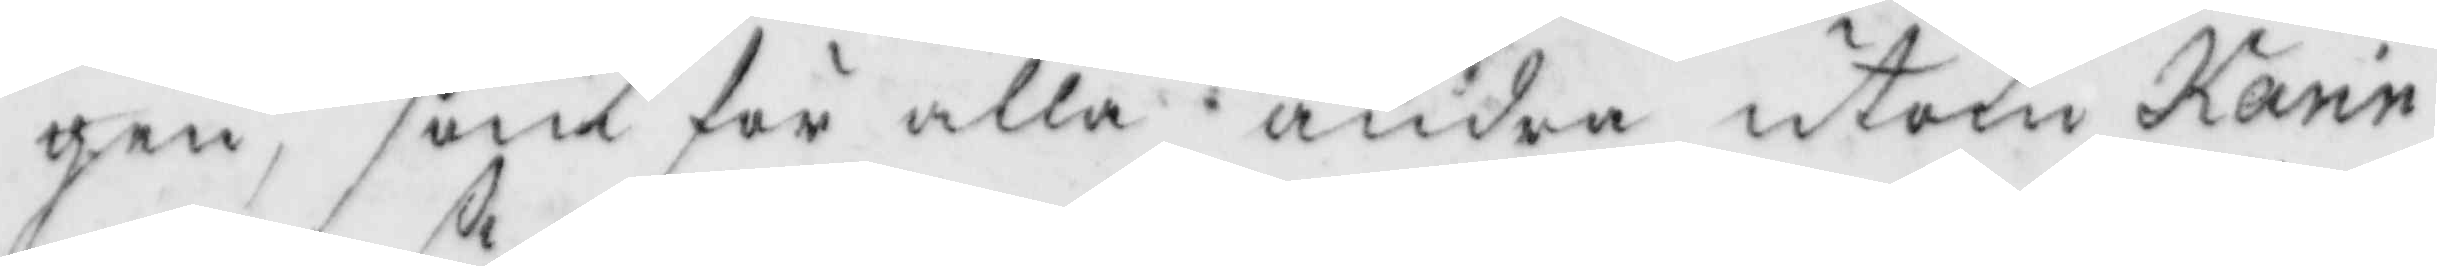gen, som för alla andra utom Karin
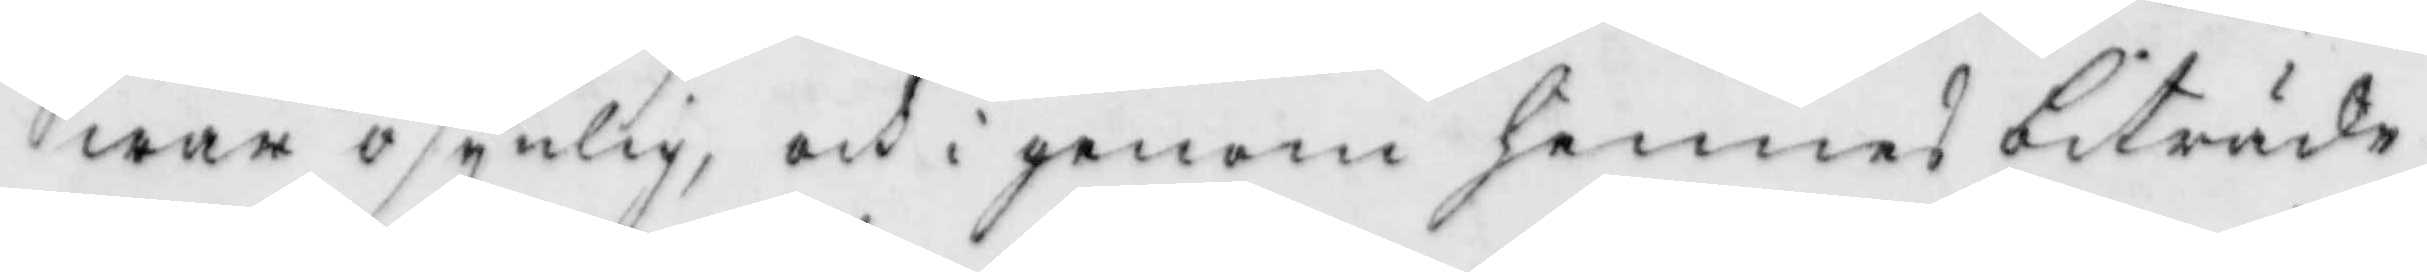war osynlig, och i genom hennes biträde
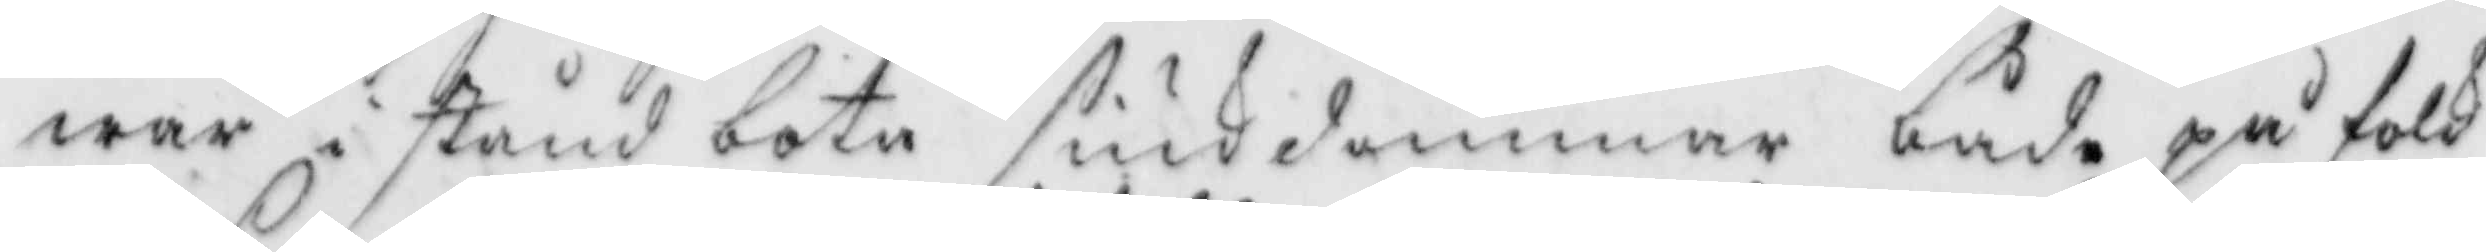war i stånd bota siukdommar både på folk
